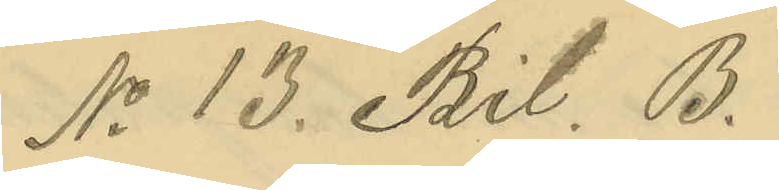No 13. Bil. B.
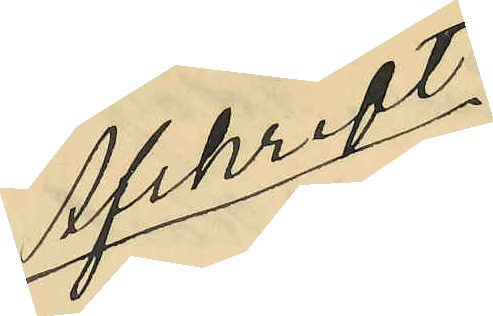Afskrift
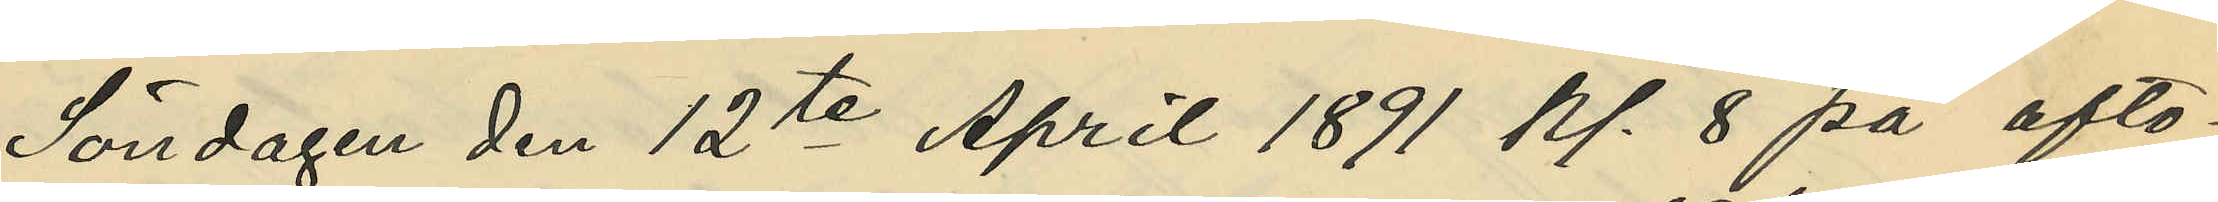Söndagen den 12te April 1891 kl. 8 på afto¬
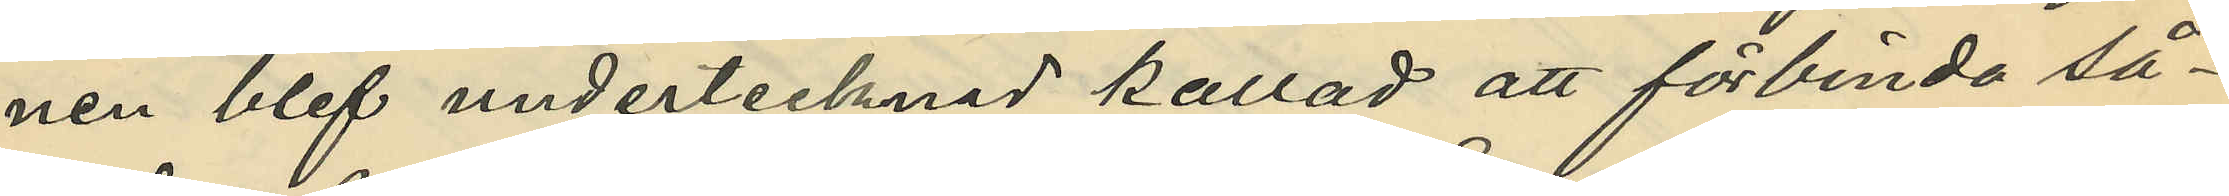nen blef undertecknad kallad att förbinda så¬
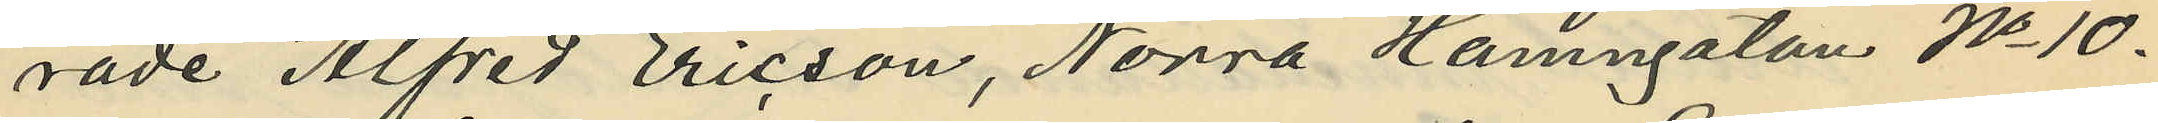rade Alfred Ericson, Norra Hamngatan No 10.
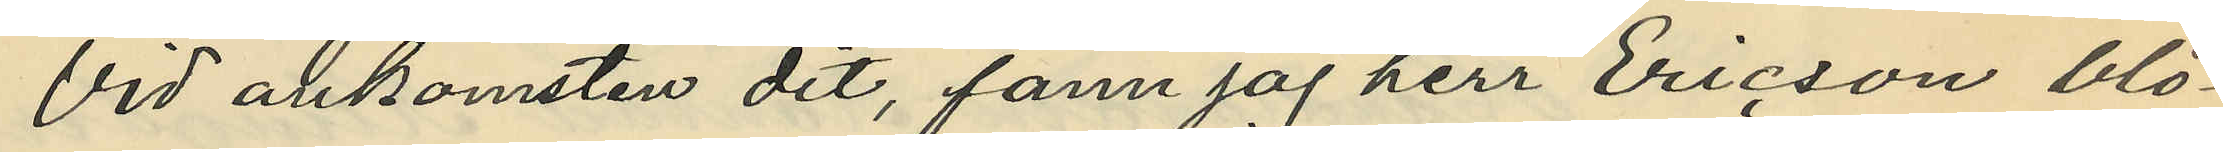Vid ankomsten dit, fann jag herr Ericson blö¬
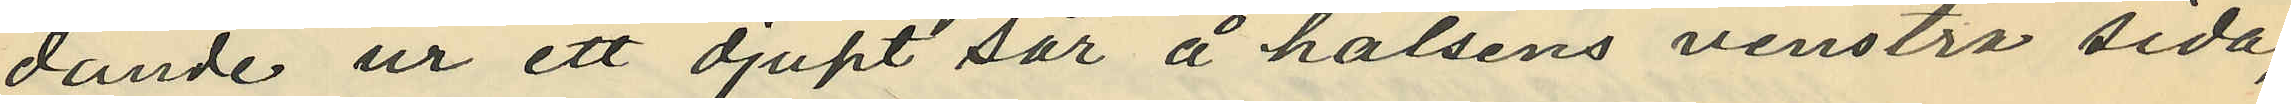dande ur ett djupt sår å halsens venstra sida,
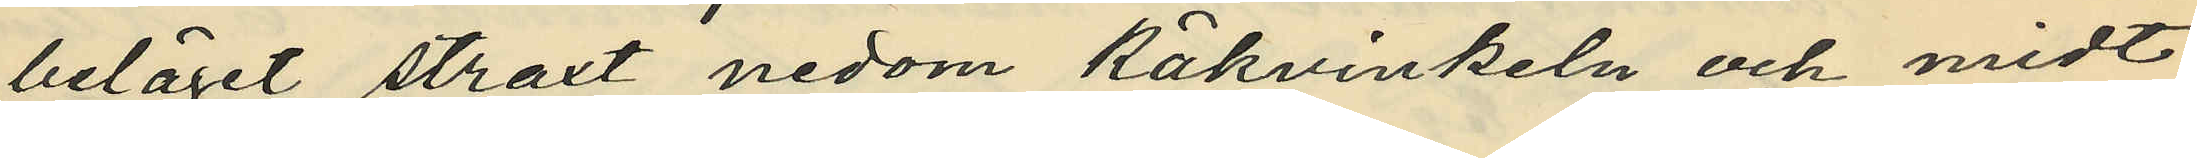beläget straxt nedom käkvinkeln och midt
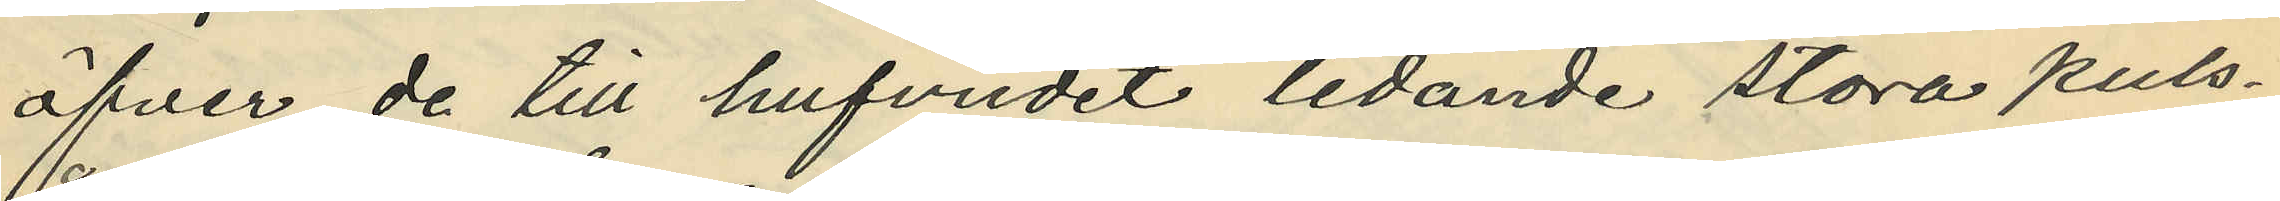öfver de till hufvudet ledande stora puls¬
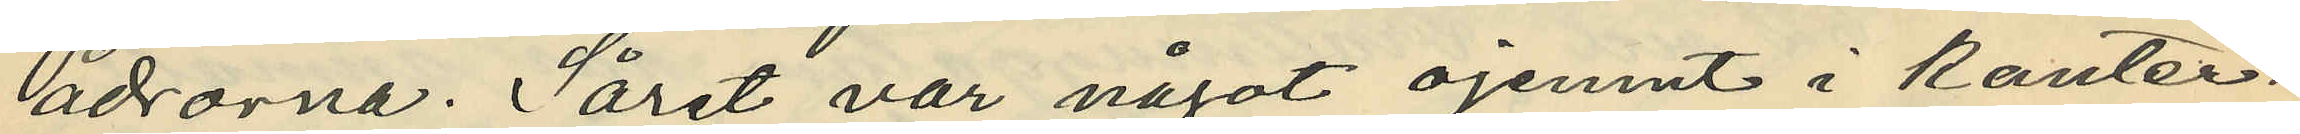ådrorna. Såret var något ojemnt i kanter¬
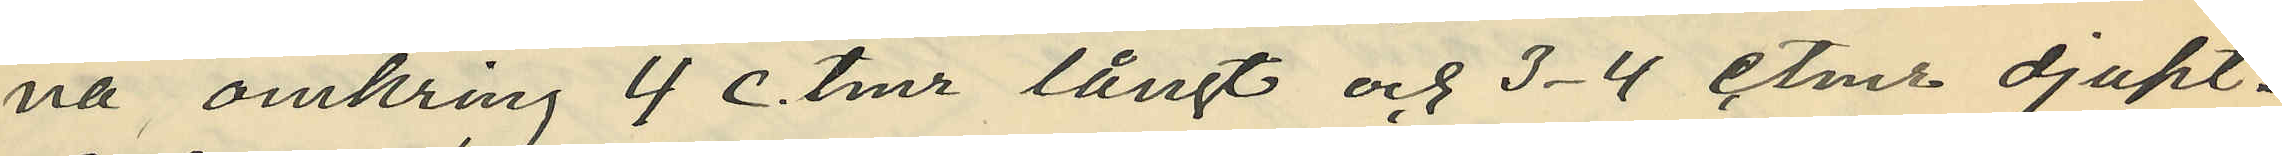na omkring 4 c.tmr långt och 3-4 c.tmr djupt.
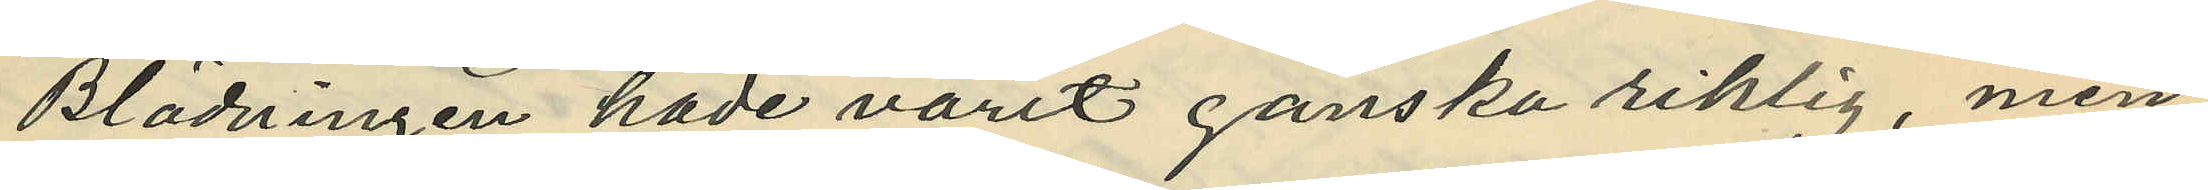Blödningen hade varit ganska riklig, men
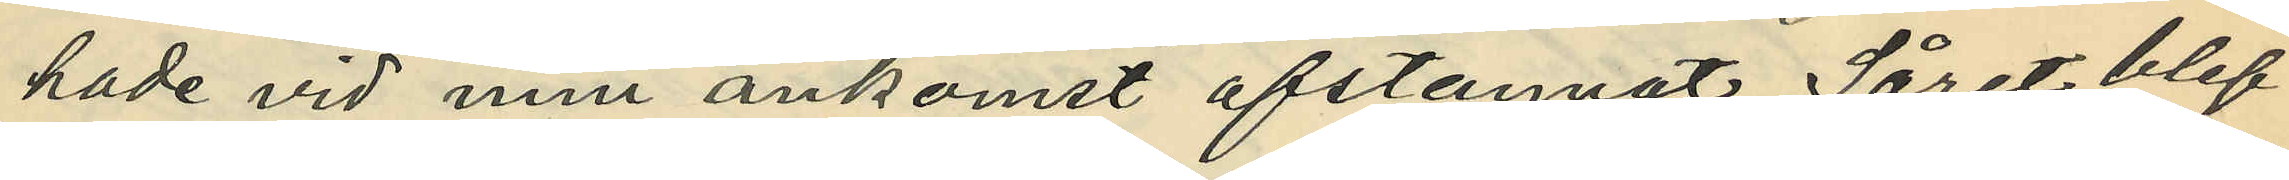hade vid min ankomst afstannat. Såret blef
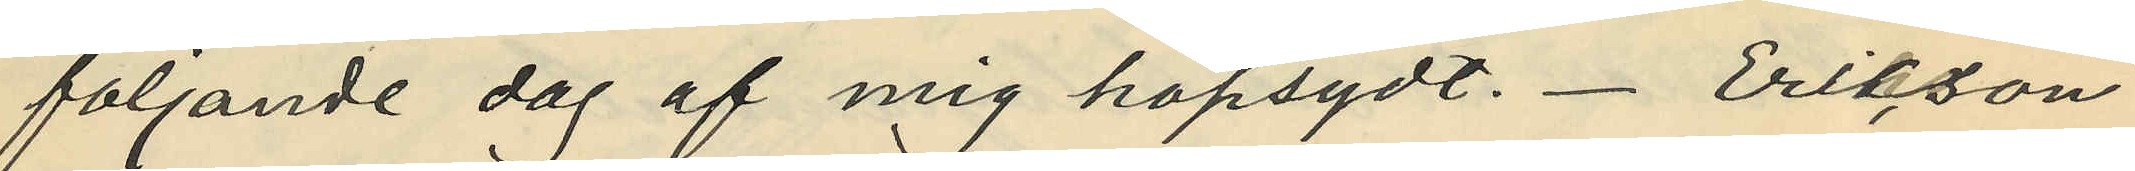följande dag af mig hopsydt. Erikson,
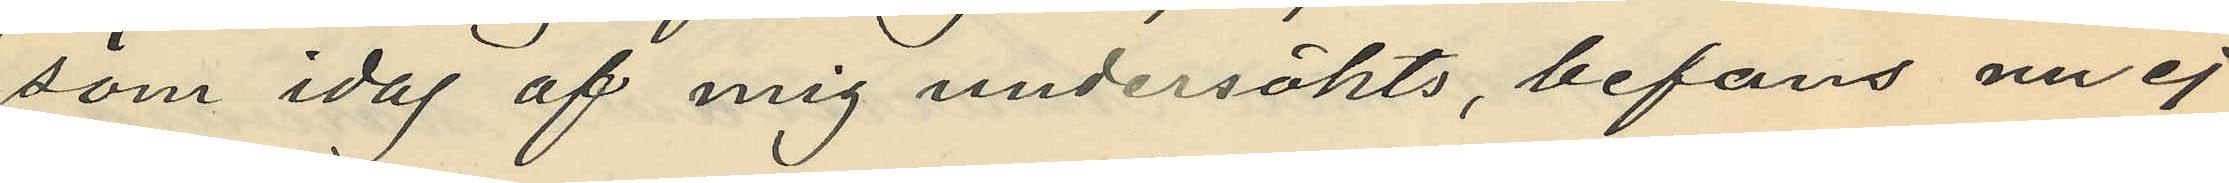som idag af mig undersökts, befans nu ej
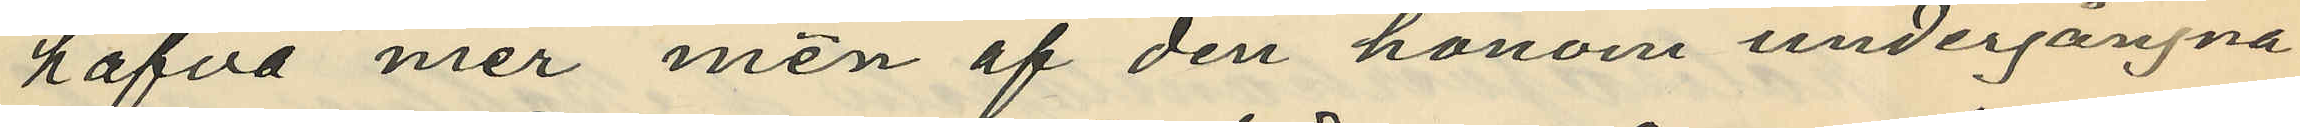hafva mer men af den honom undergångna
